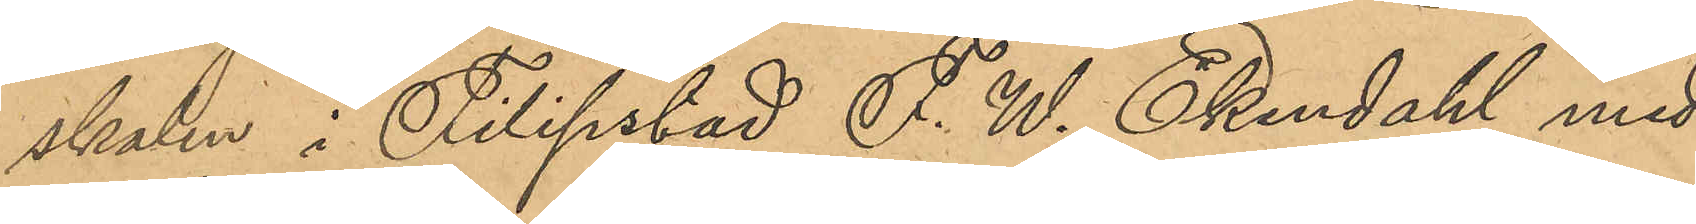skalen i Filipstad F. W. Ekendahl med¬
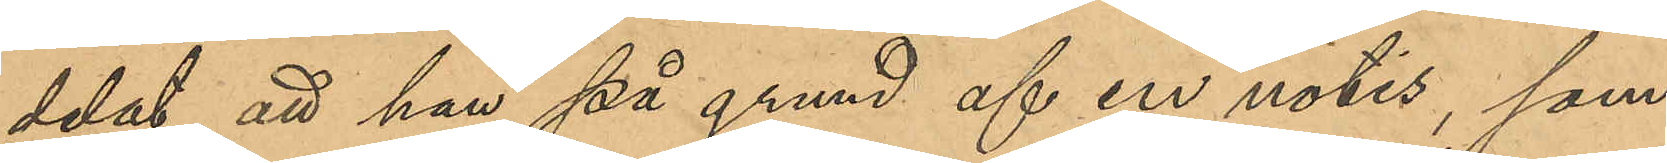delat, att han på grund af en notis, som
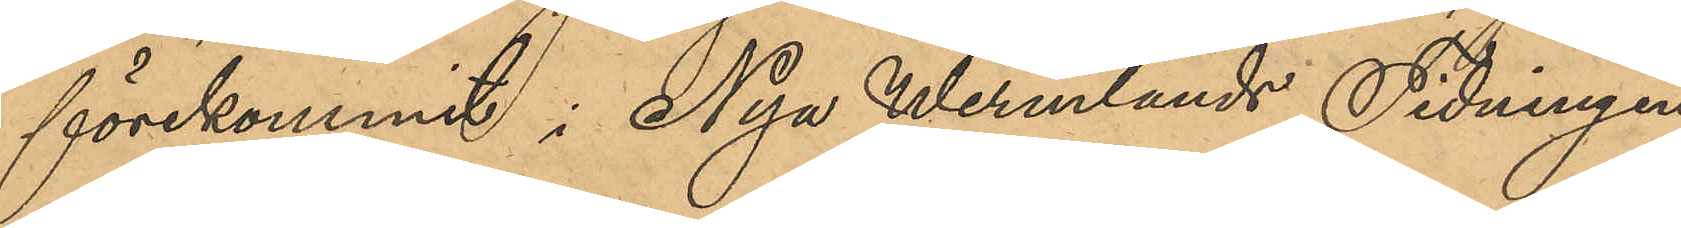förekommit i Nya Wermlands Tidningen
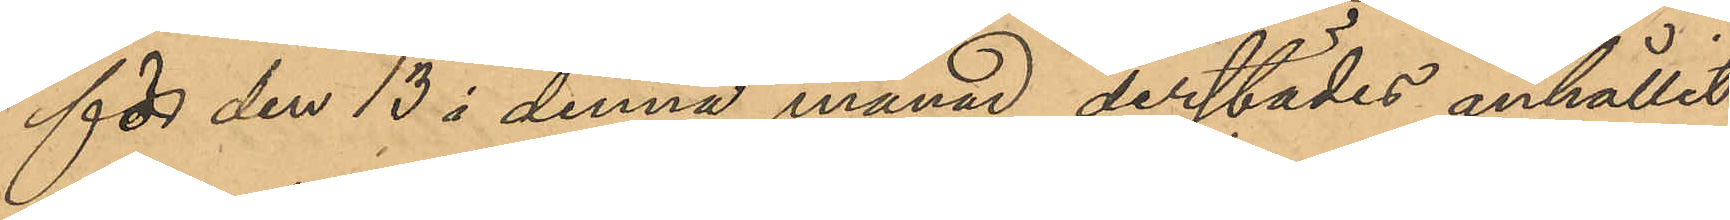för den 13 i denna månad anhållit
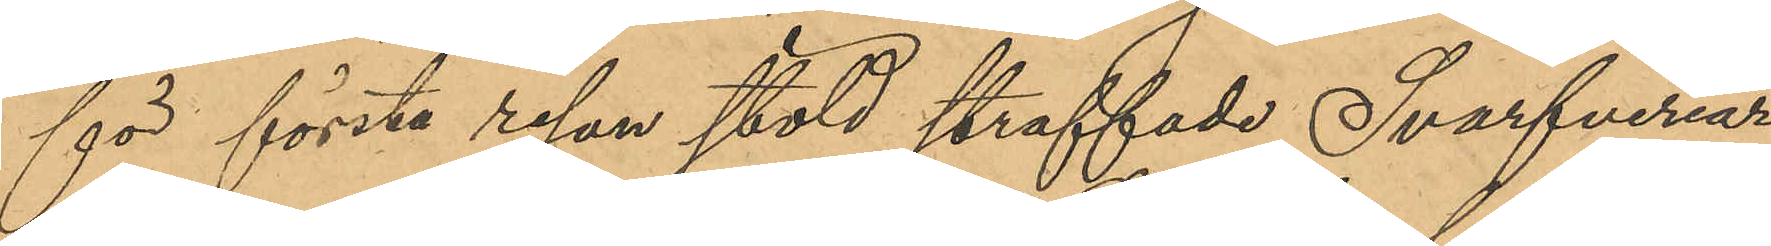för första resan stöld straffade Svarfveriar¬
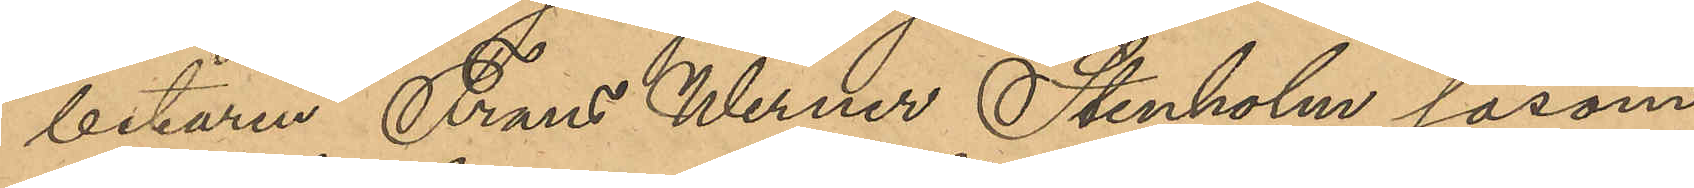betaren Frans Werner Stenholm såsom
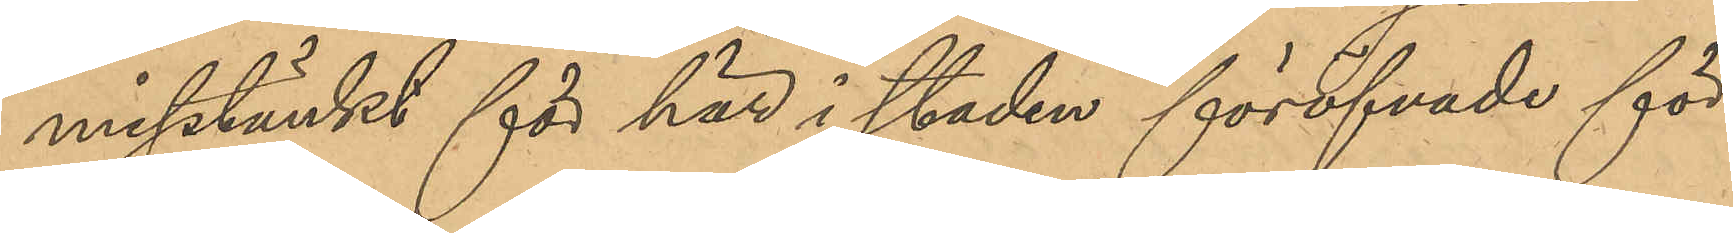misstänkt för här i staden föröfvade för¬
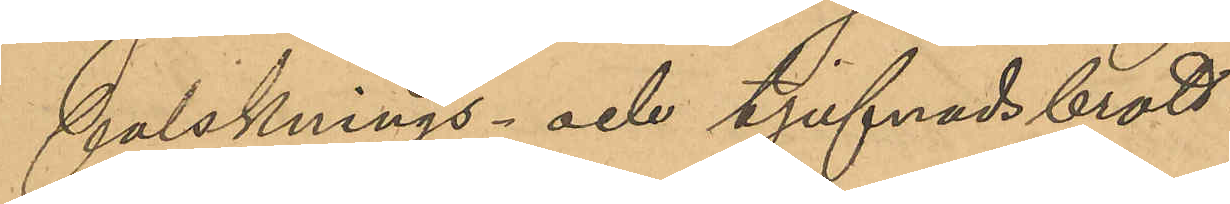falsknings- och tjufnadsbrott.
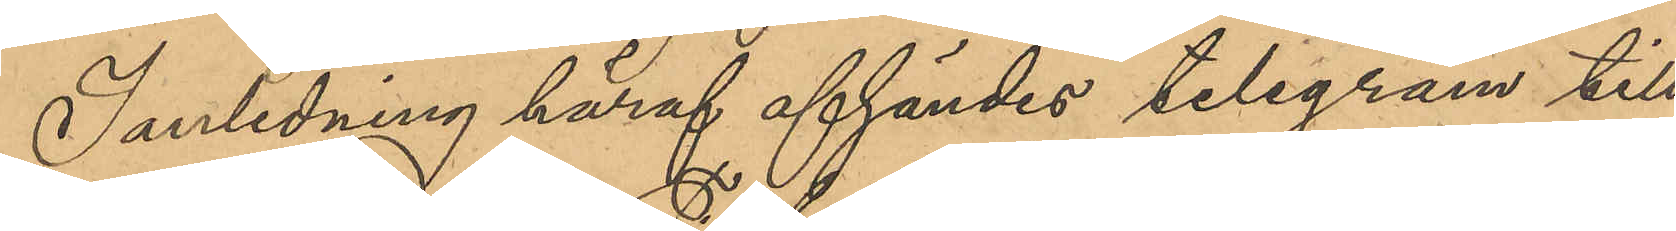I anledning häraf afsändes telegram till
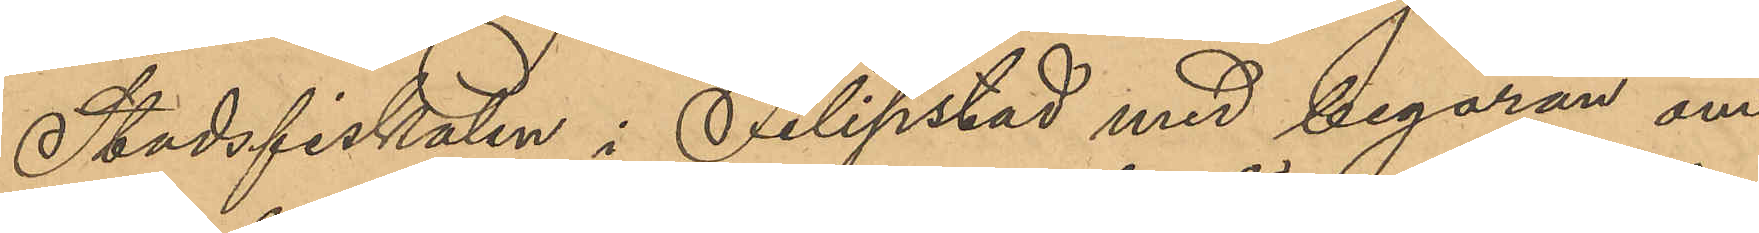Stadsfiskalen i Filipstad med begäran om
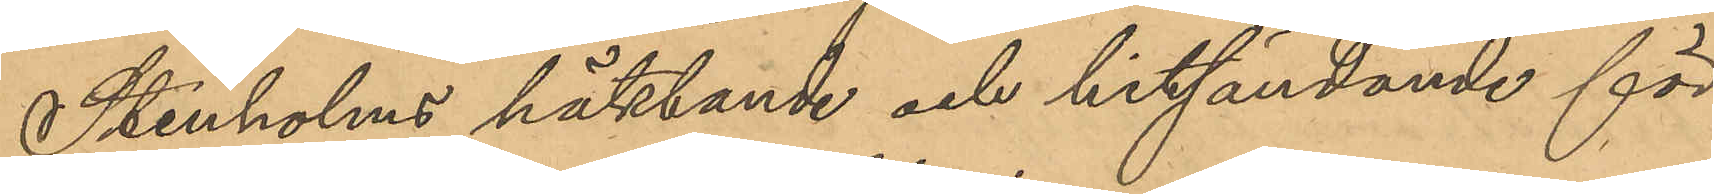Stenholms häktande och hitsändande för
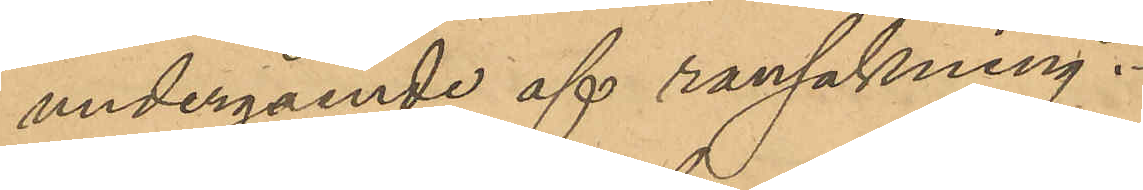undergående af ransakning.
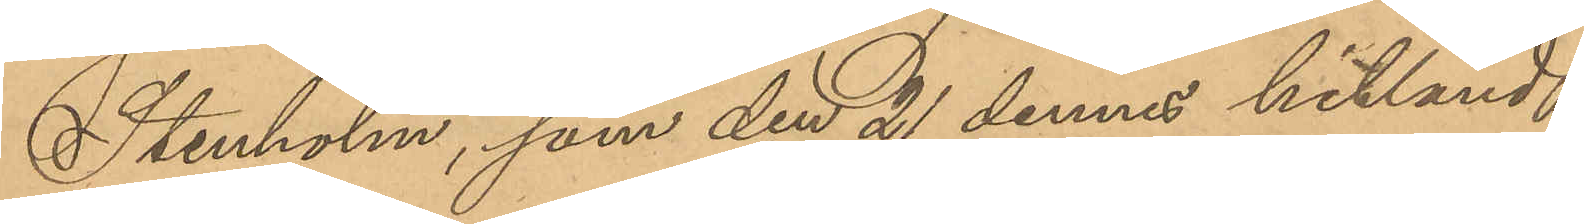Stenholm, som den 21 dennes hitländt
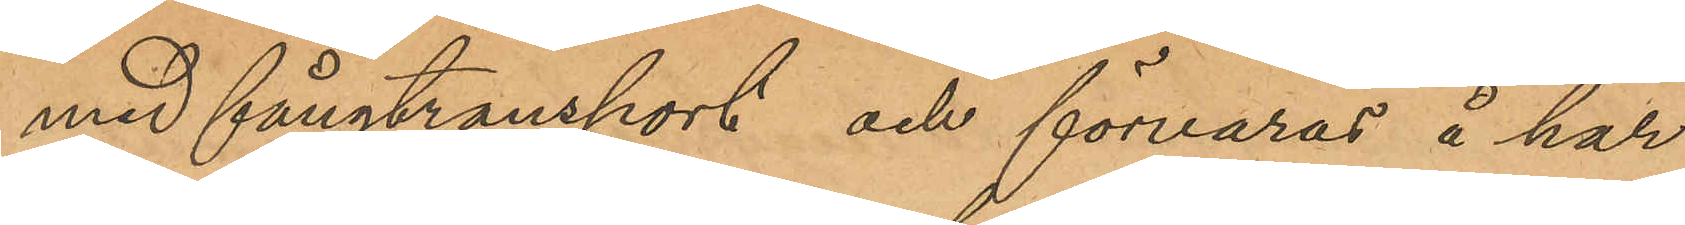med fångtransport och förvaras å här¬
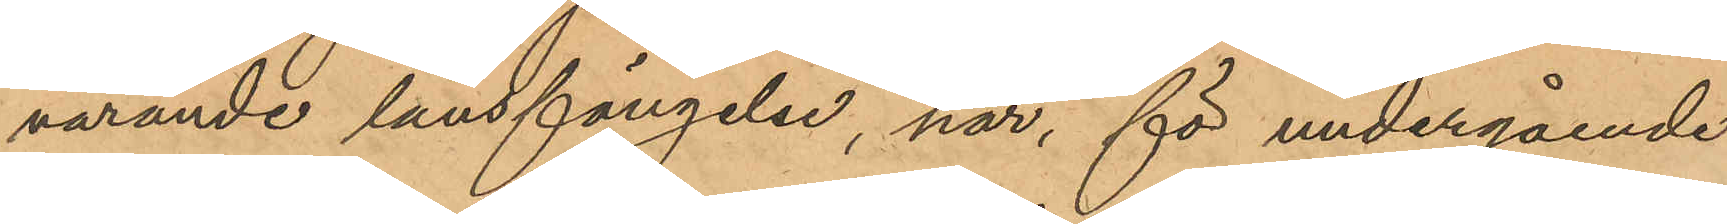varande länsfängelse, har, för undergående
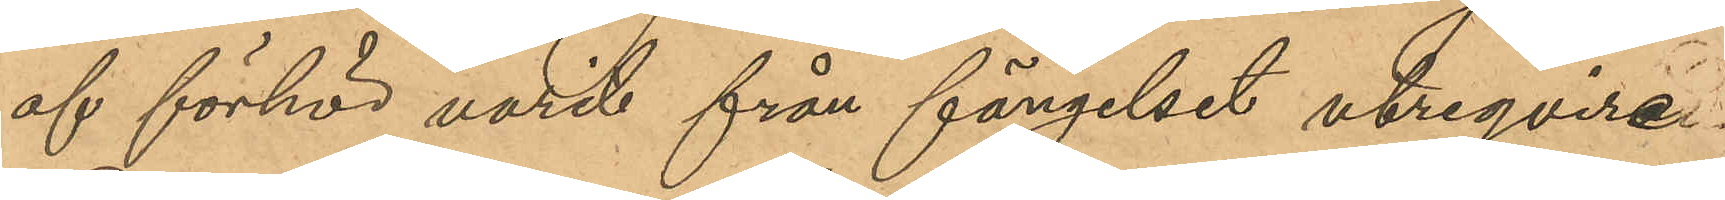af förhör varit från fängelset utreqvire¬
